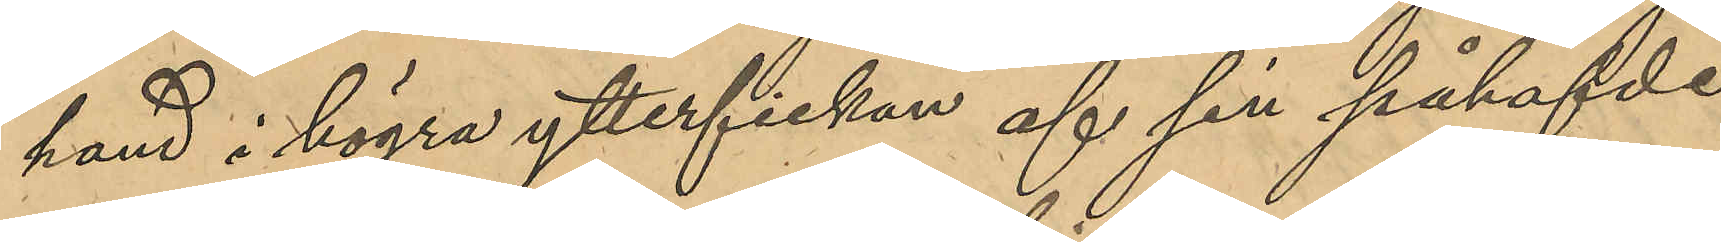hand i högra ytterfickan af sin påhafvde
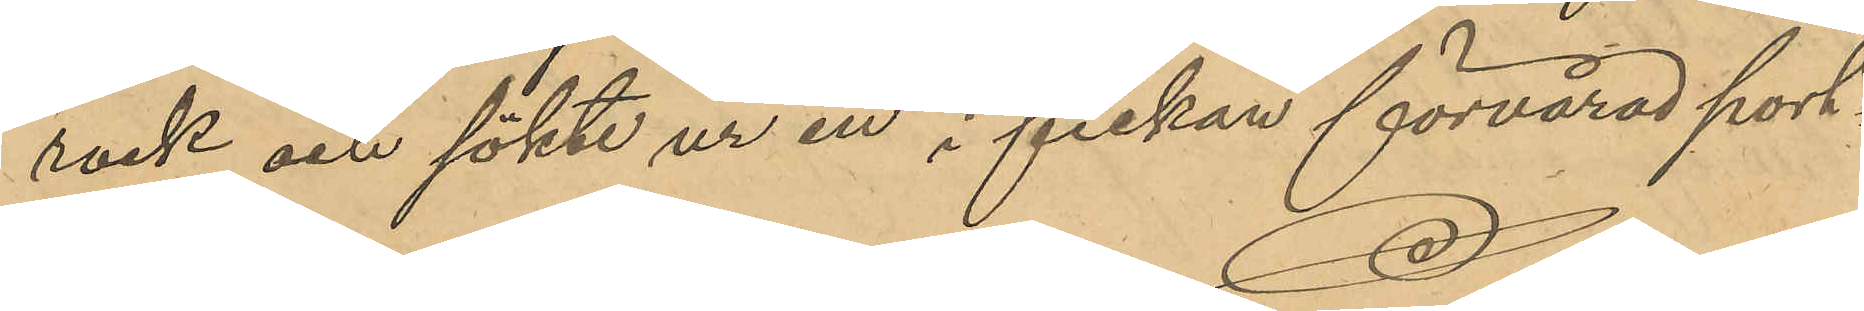rock och sökte ur en i fickan förvarad port¬
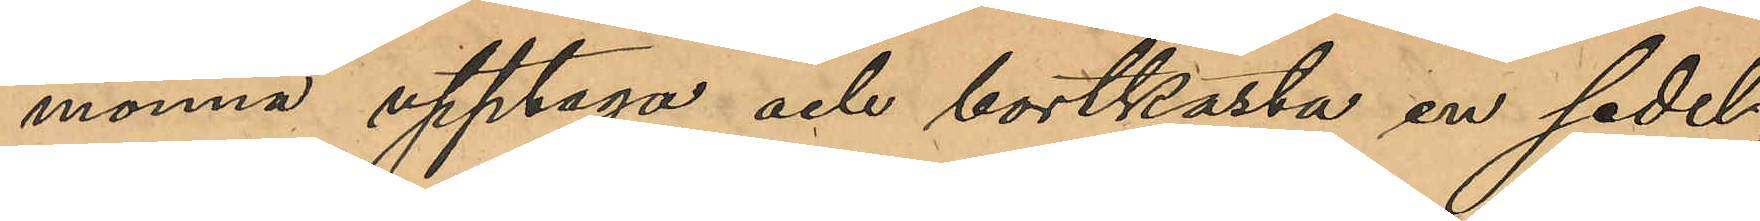monnä upptaga och bortkasta en sedel,
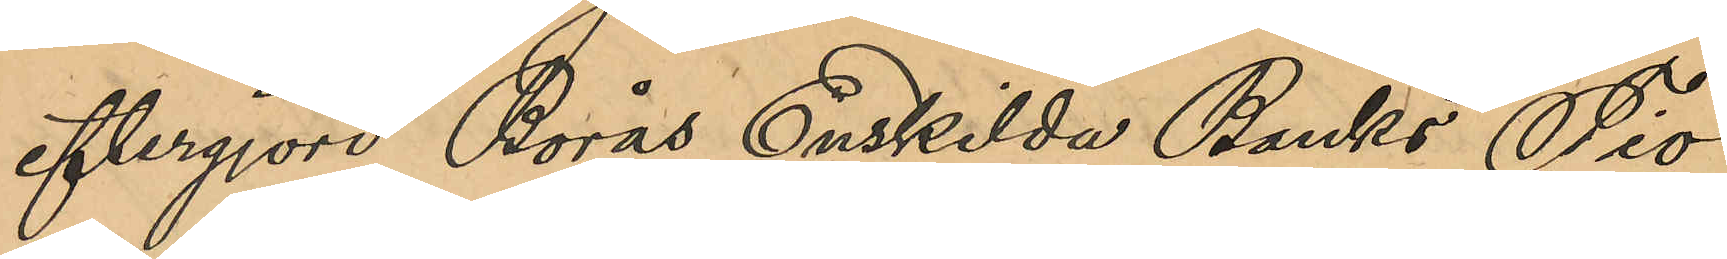eftergjord Borås Enskilda Banks Tio¬
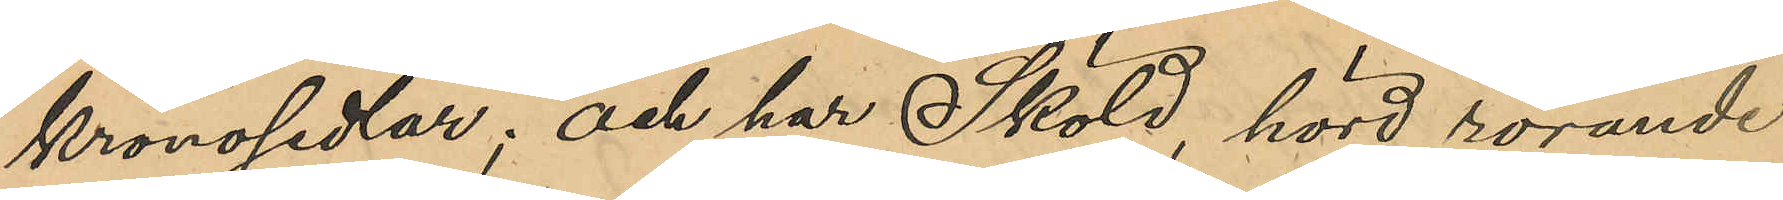kronosedel; och har Sköld, hörd rörande
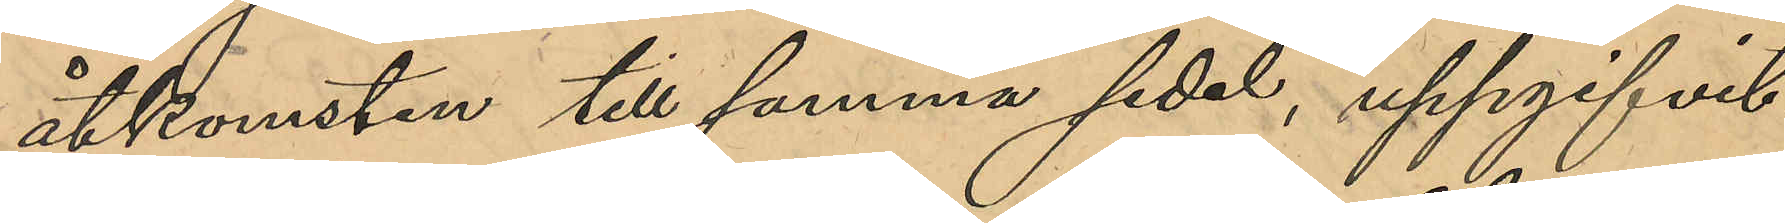åtkomsten till samma sedel, uppgifvit
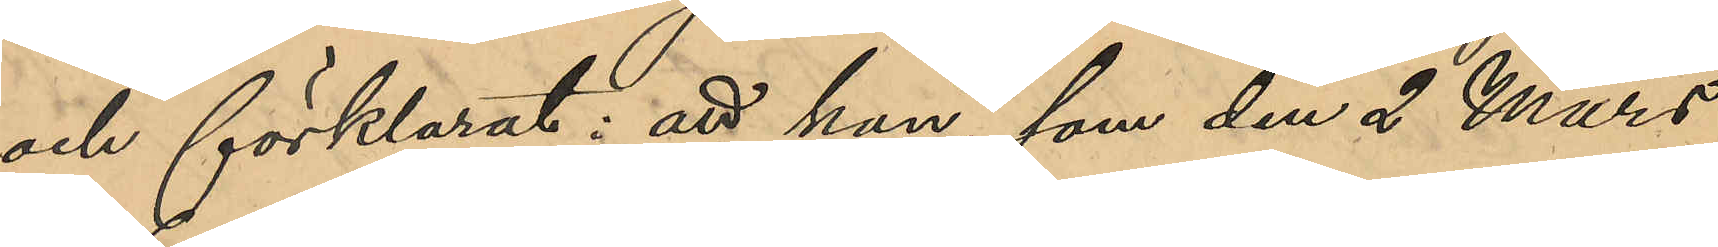och förklarat: att han, som den 2 Mars
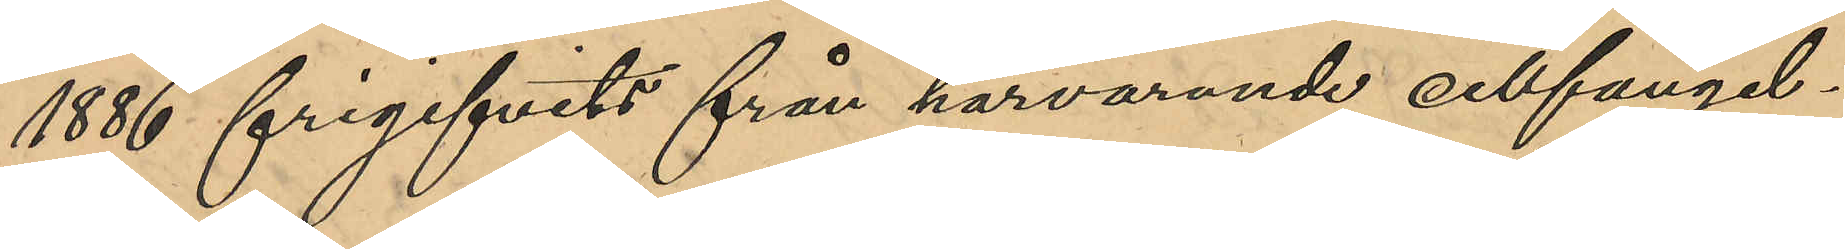1886 frigifvits från härvarande cellfängel¬
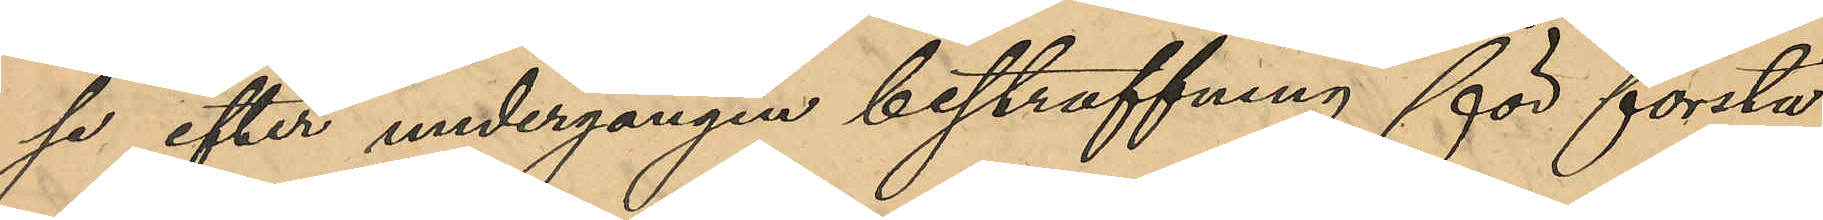se efter undergången bestraffning för första
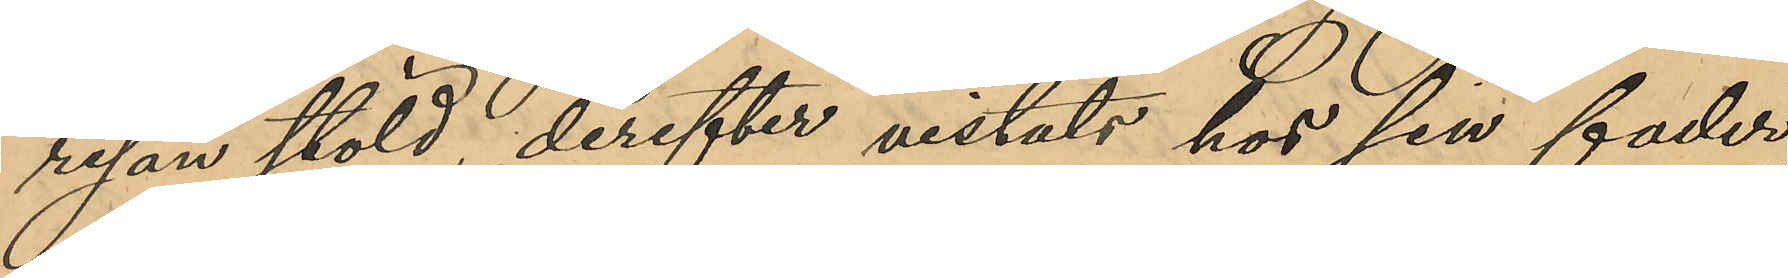resan stöld, derefter vistats hos sin fader,
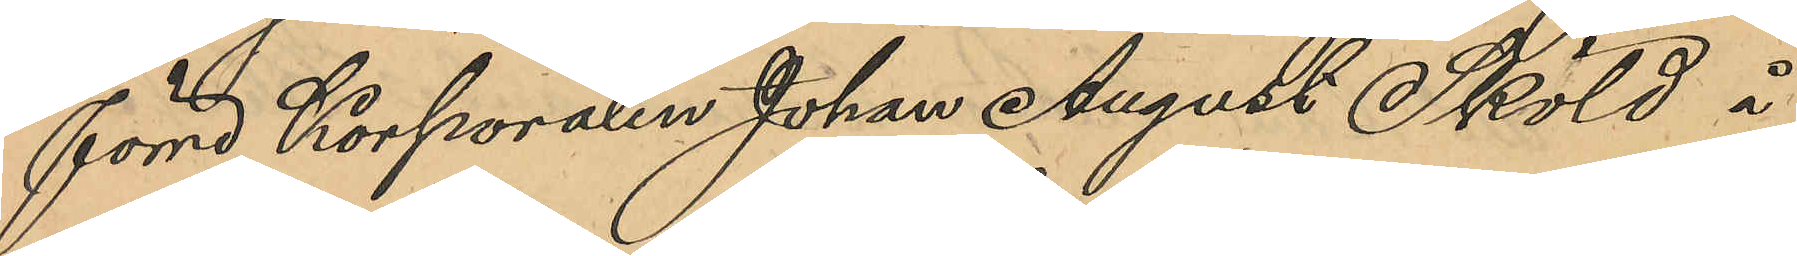förre Korporalen Johan August Sköld å
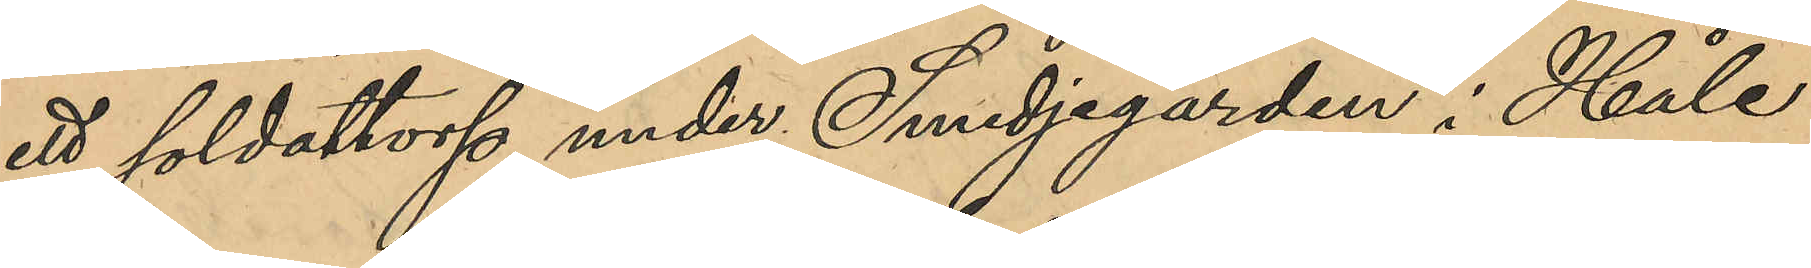ett soldattorp under Smedjegården i Håle
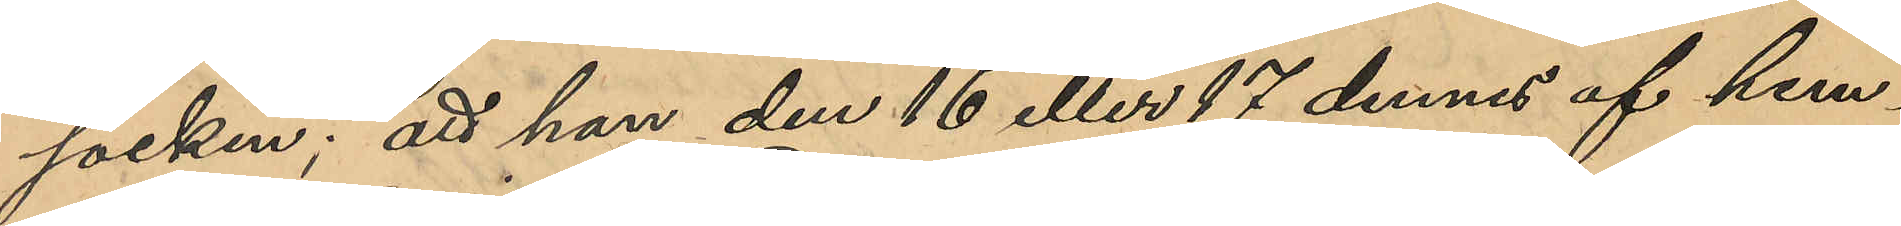socken; att han den 16 eller 17 dennes af hem¬
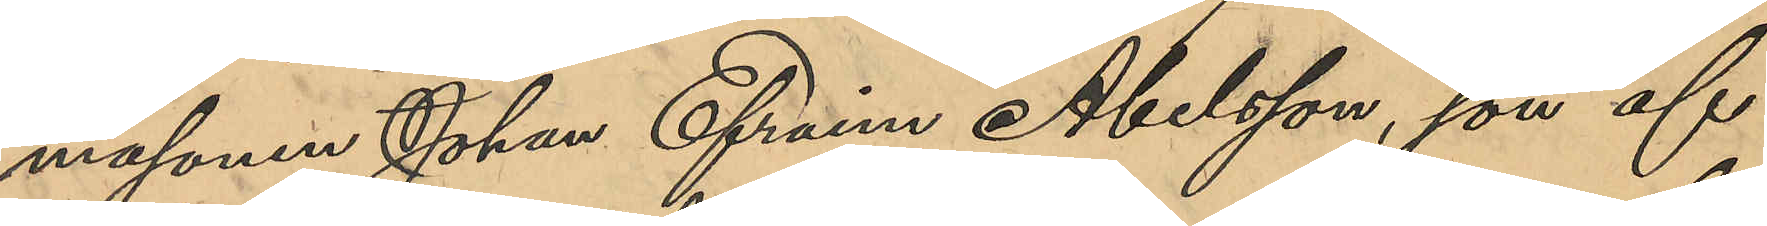masonen Johan Efraim Abelsson, son af
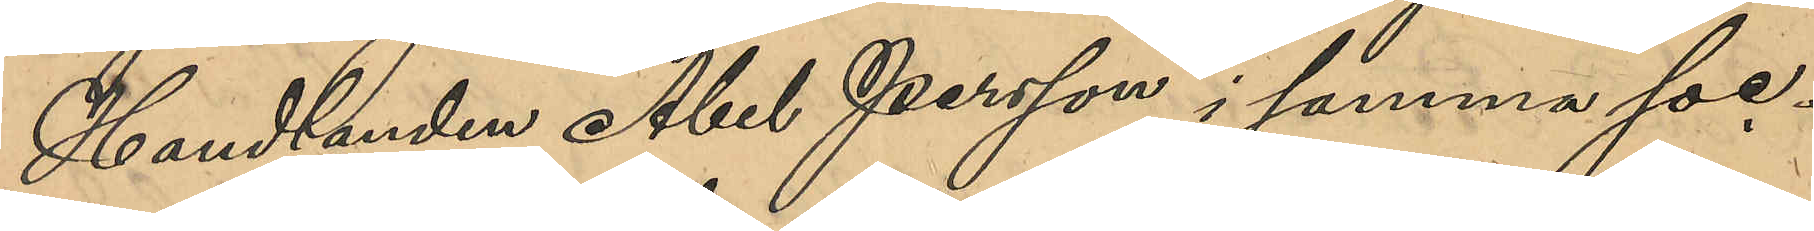Handlanden Abel Persson i samma soc¬
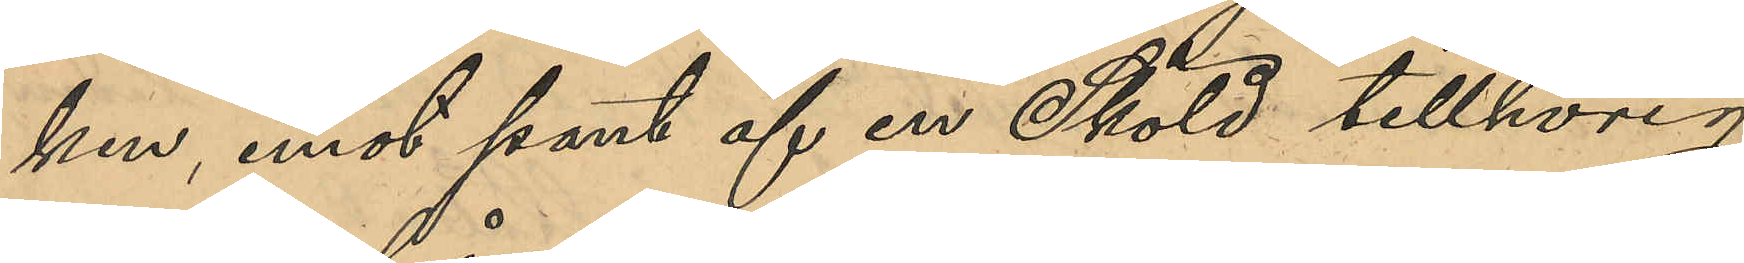ken, emot pant af en Sköld tillhörig
